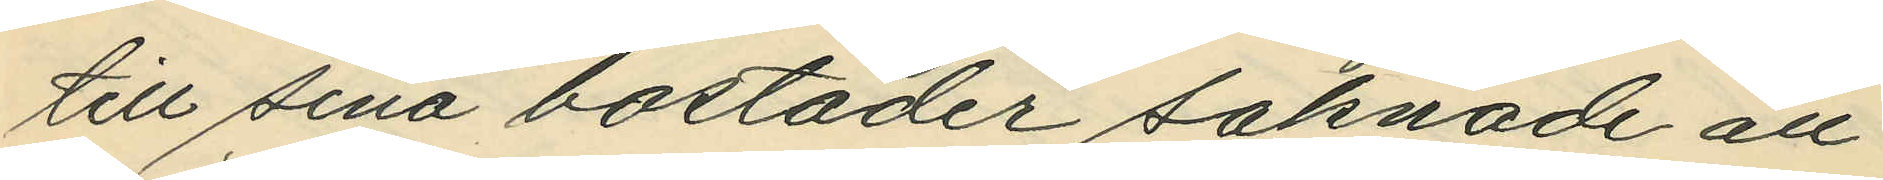till sina bostäder saknade all
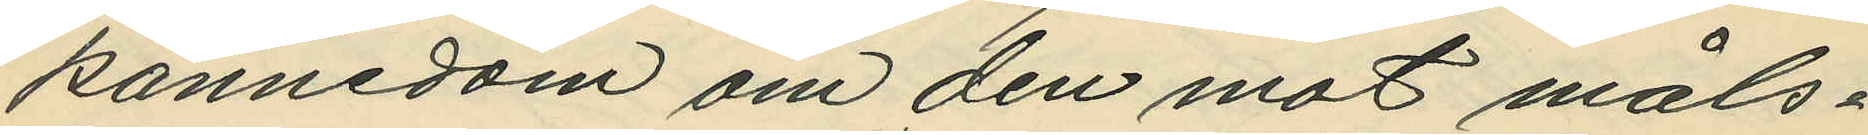kännedom om den mot måls¬
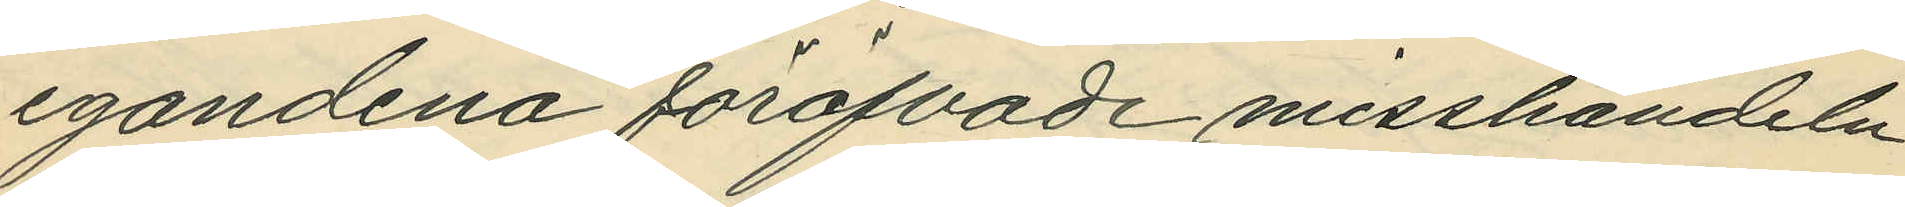egandena föröfvade misshandeln
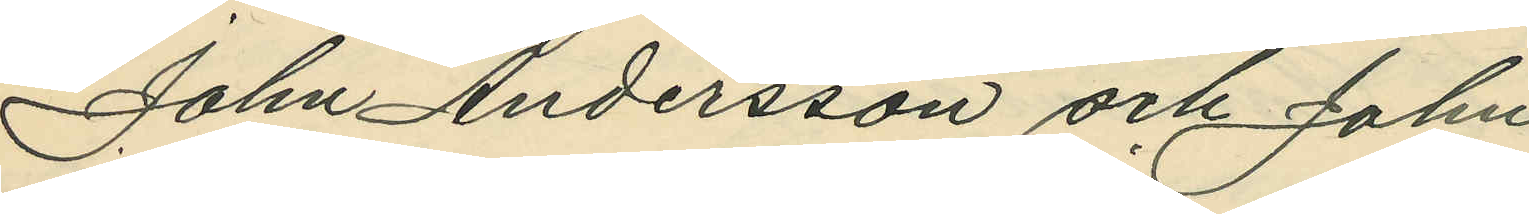John Andersson och John
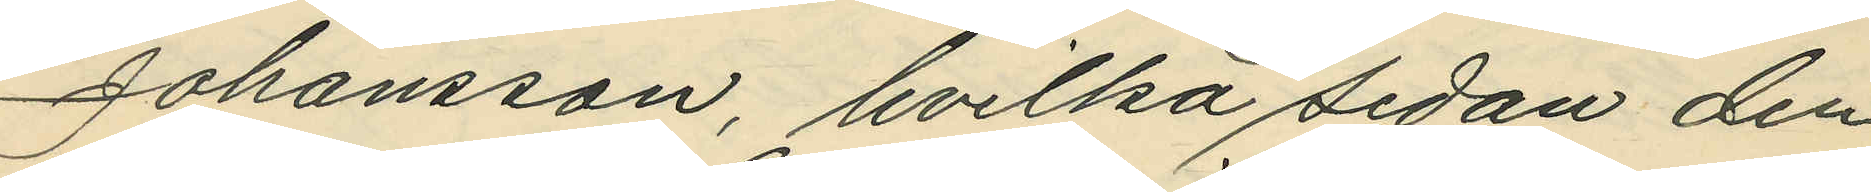Johansson, hvilka sedan den
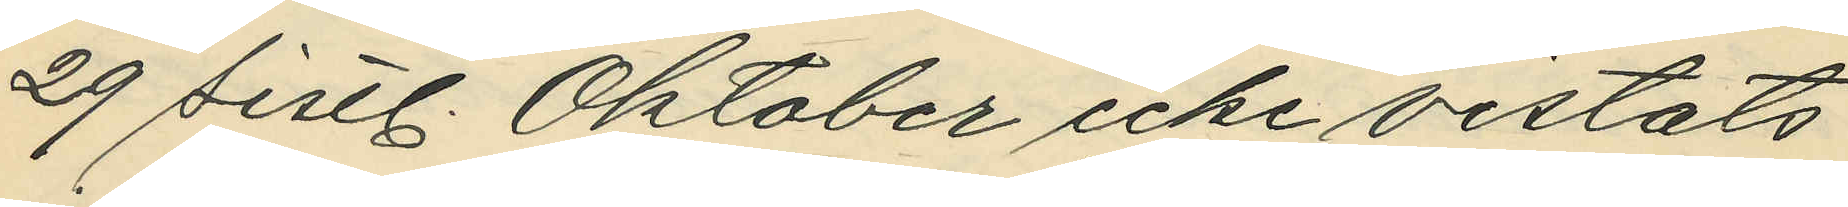29 sistl. Oktober icke vistats
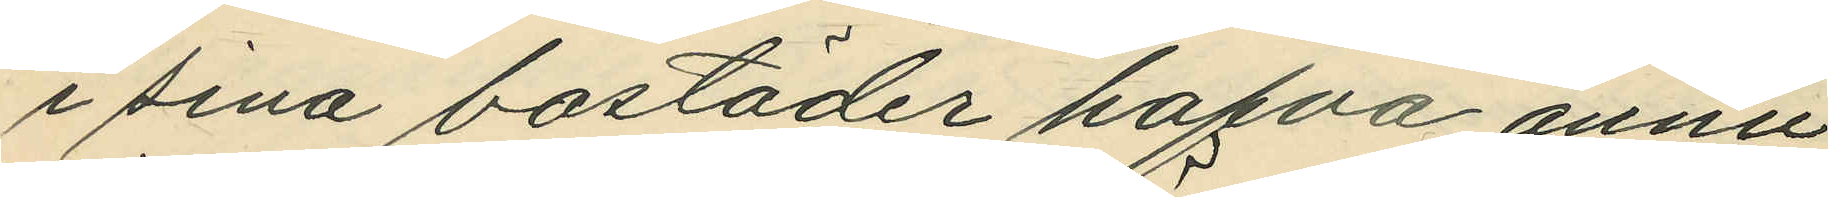i sina bostäder hafva ännu
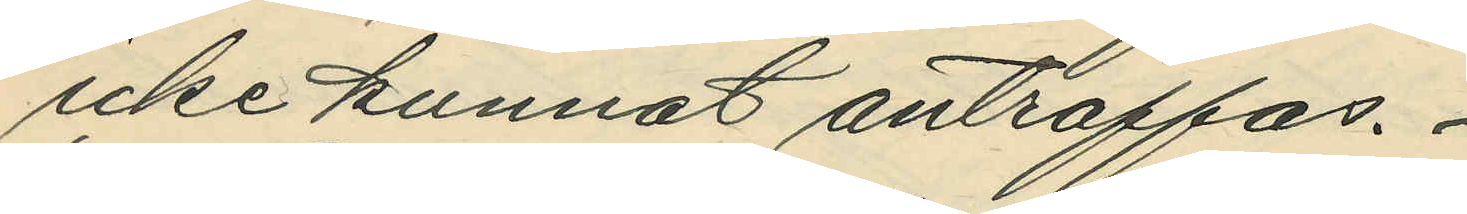icke kunnat anträffas.
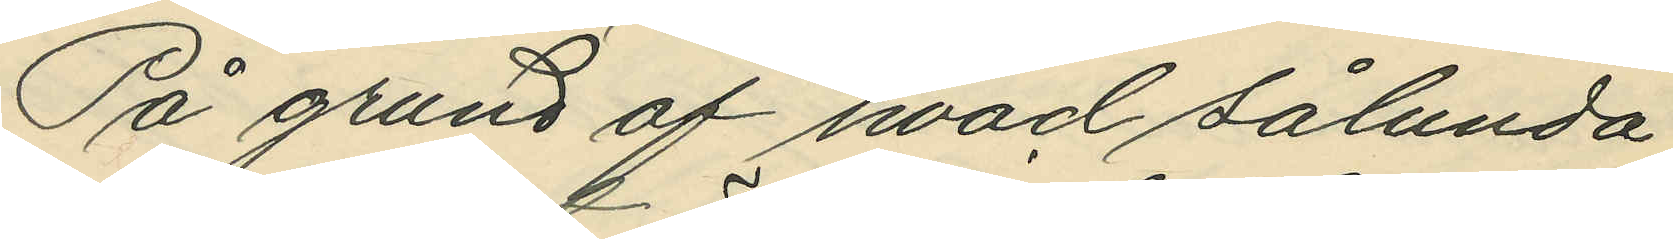På grund af hvad sålunda
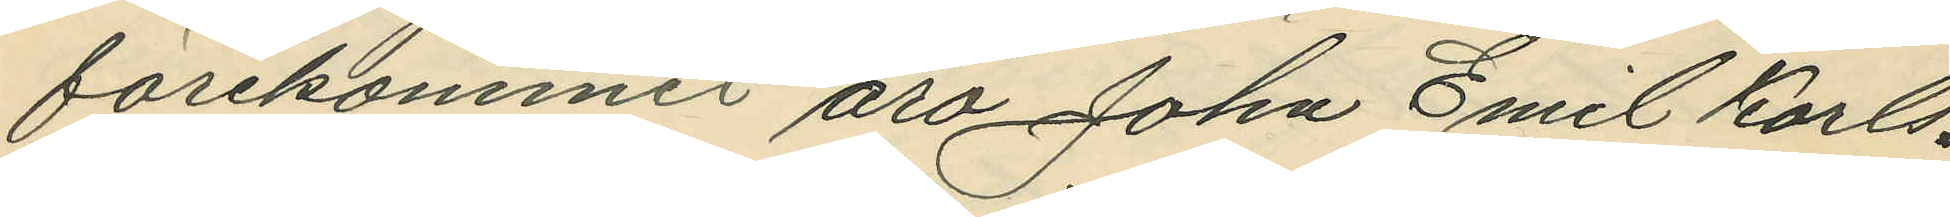förekommit äro John Emil Karls¬
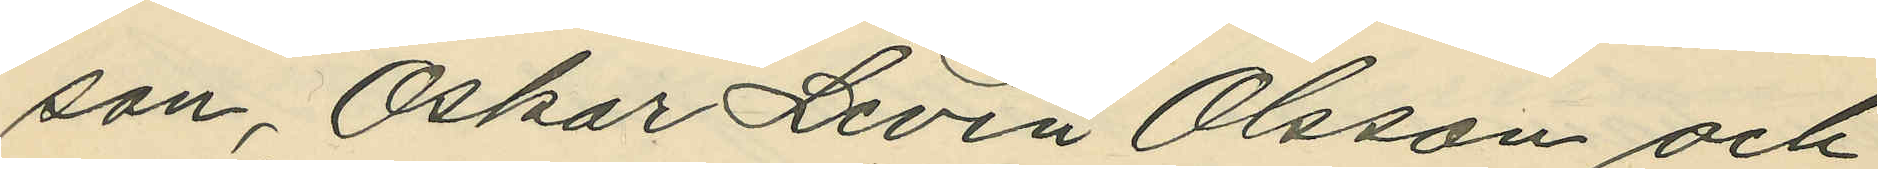son, Oskar Levin Olsson och
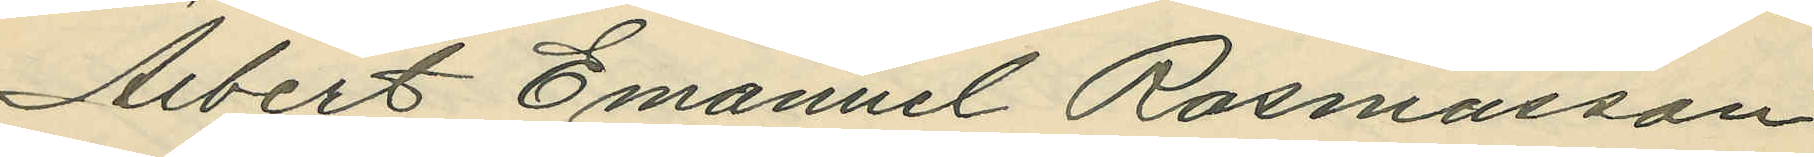Albert Emanuel Rasmusson
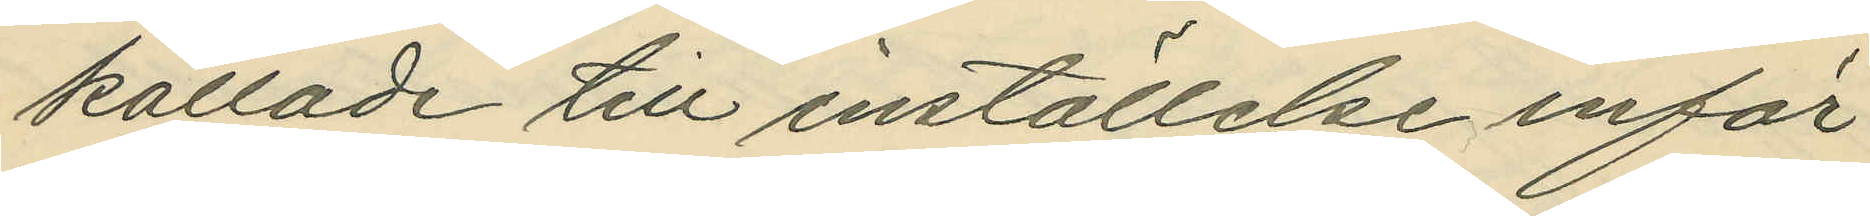kallade till inställelse inför
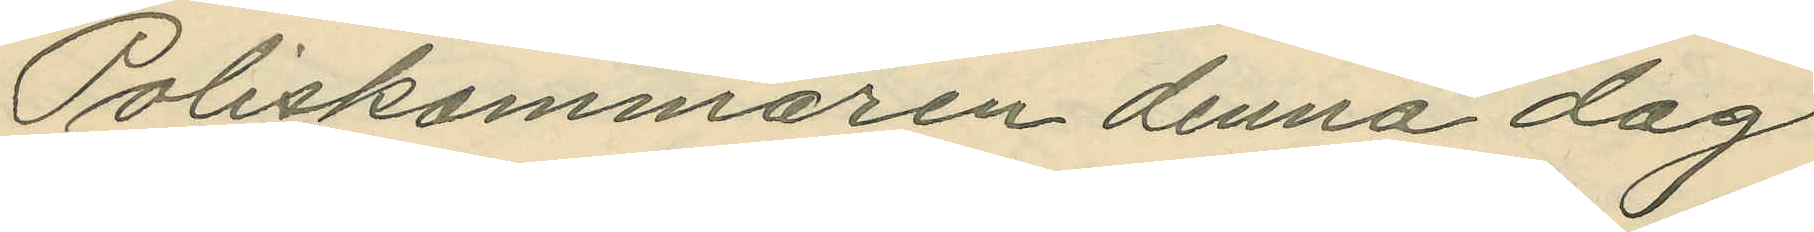Poliskammaren denna dag
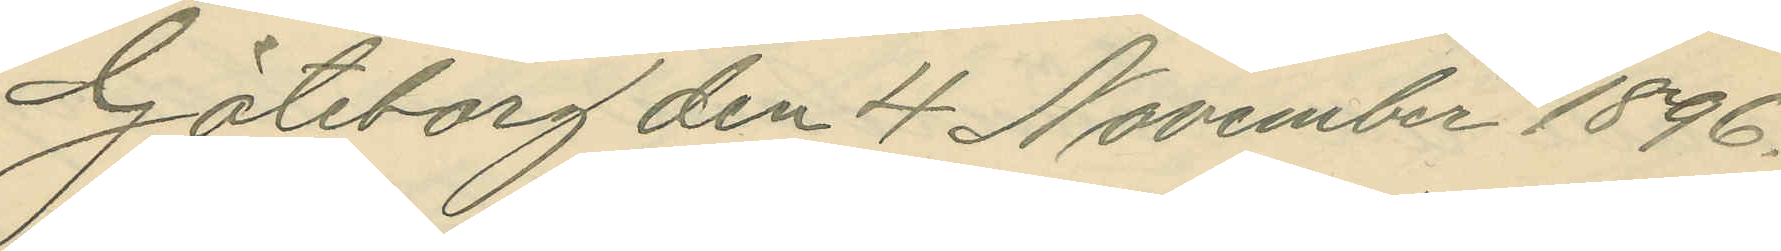Göteborg den 4 November 1896.
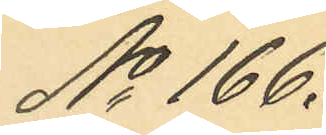No 166.
